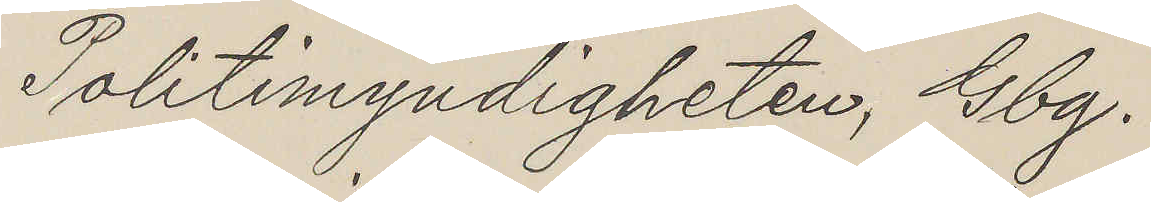Politimyndigheten, Gbg.
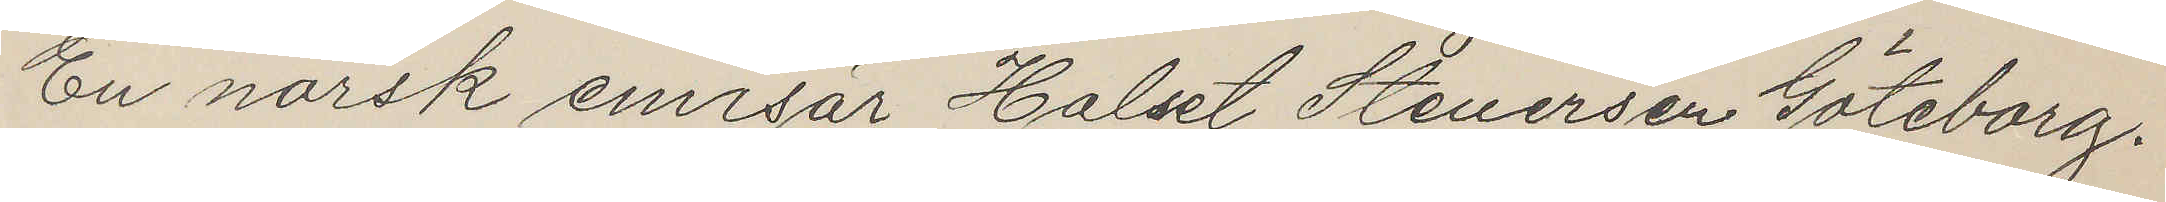En norsk emisär Halset Stenersen Göteborg.
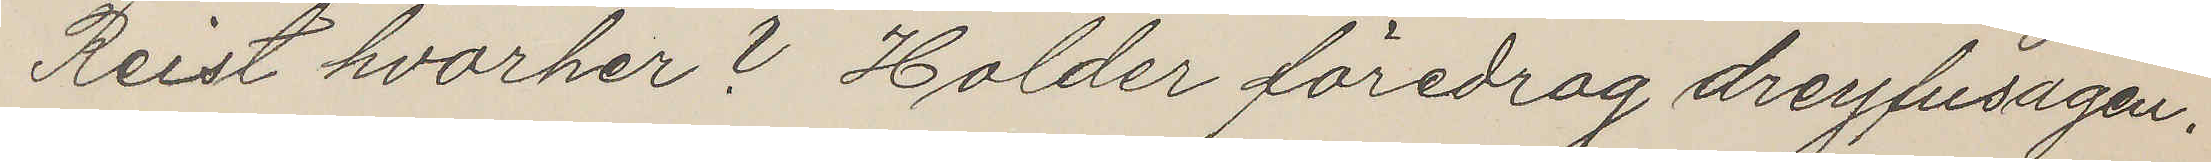Reist hvarher? Holder föredrag dreyfusagen.
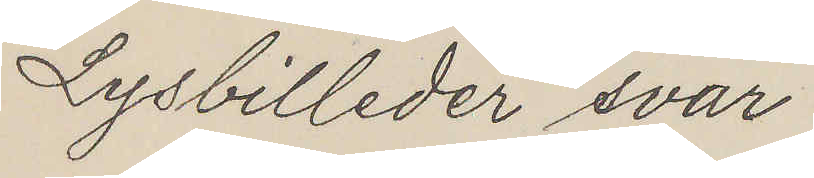Lysbilleder svar
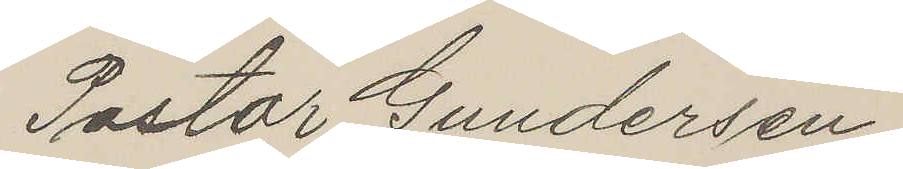Pastor Gundersen
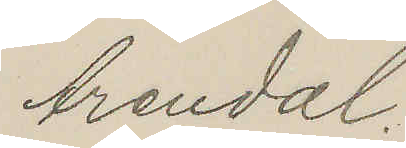Arendal.
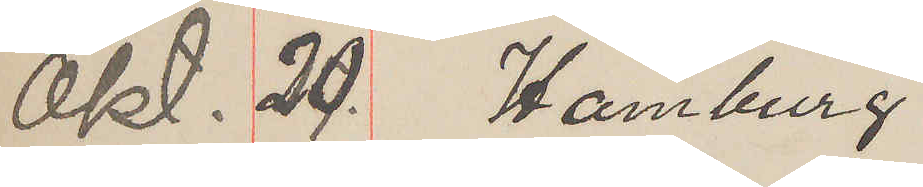Okt. 20. Hamburg
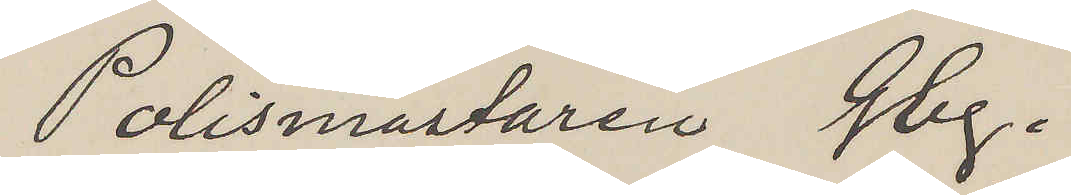Polismästaren Gbg.
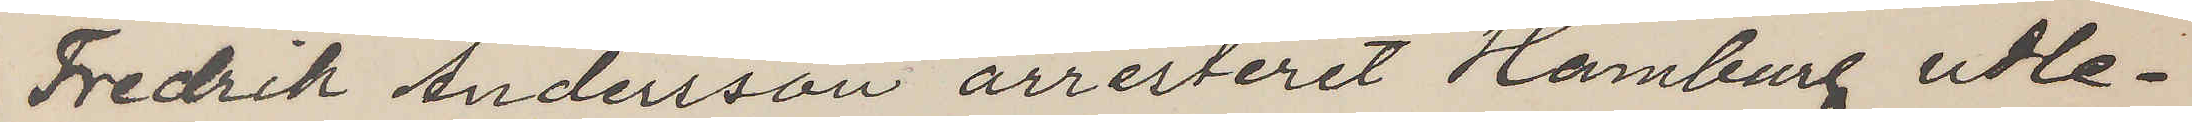Fredrik Andersson arresteret Hamburg udle¬
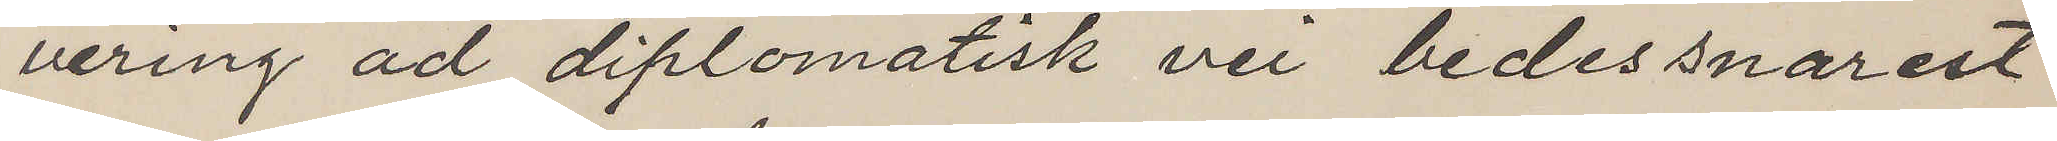vering ad diplomatisk vei bedes snarest
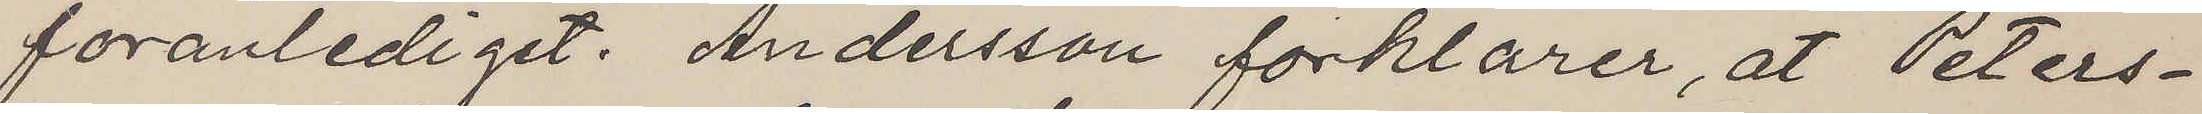foranlediget. Andersson forklarer, at Peters¬
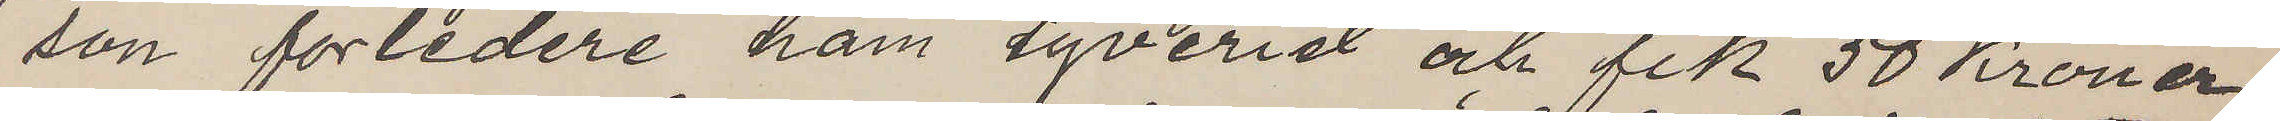son forledere ham tyveriet och fik 50 Kroner
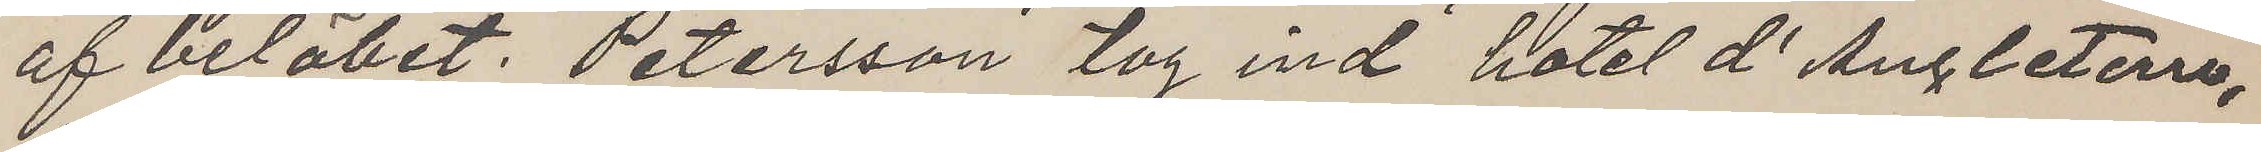af belöbet. Petersson tog ind hotel d'Angleterre,
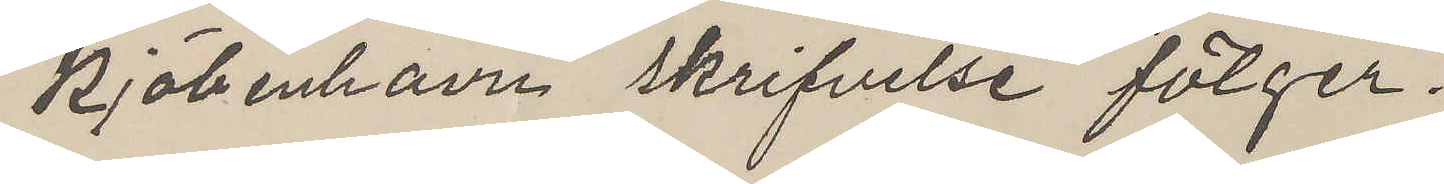Kjöbenhavn skrifvelse fölger.
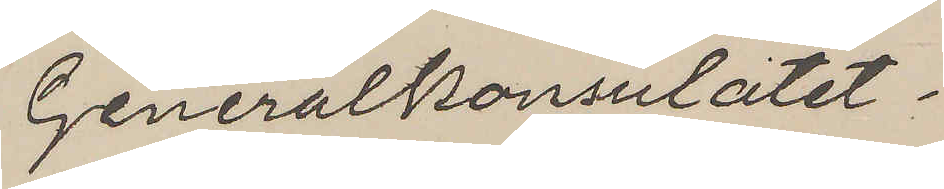Generalkonsulatet.
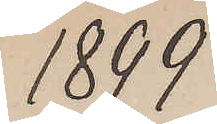1899
